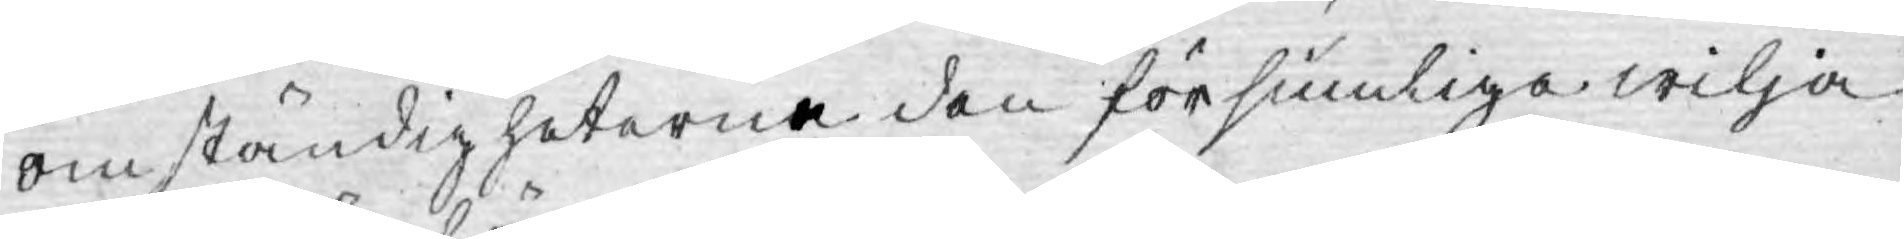omständigheterna den försumlige wilja
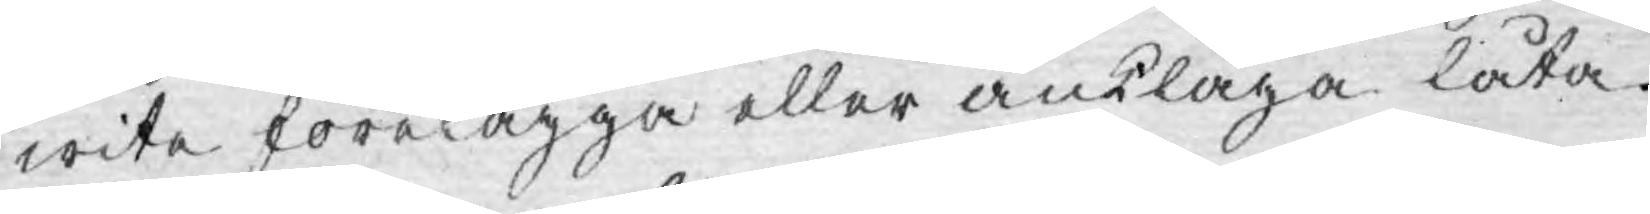wite förelägga eller anklaga låta.
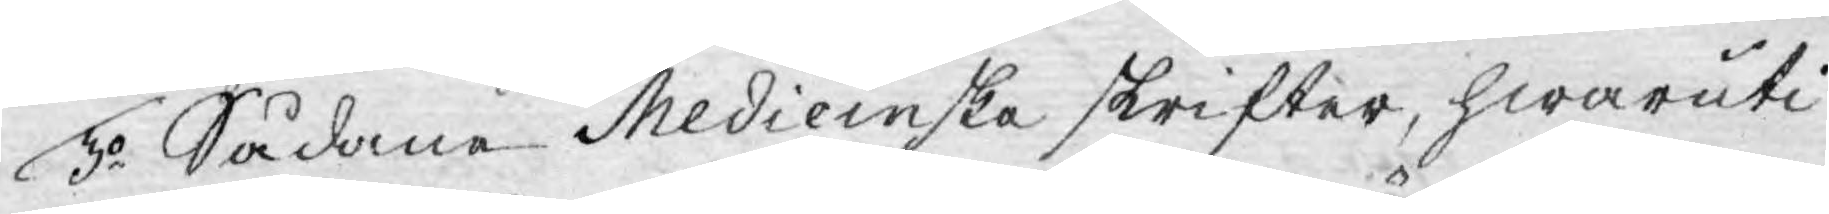3o Sådane Medicinske skrifter, hwaruti
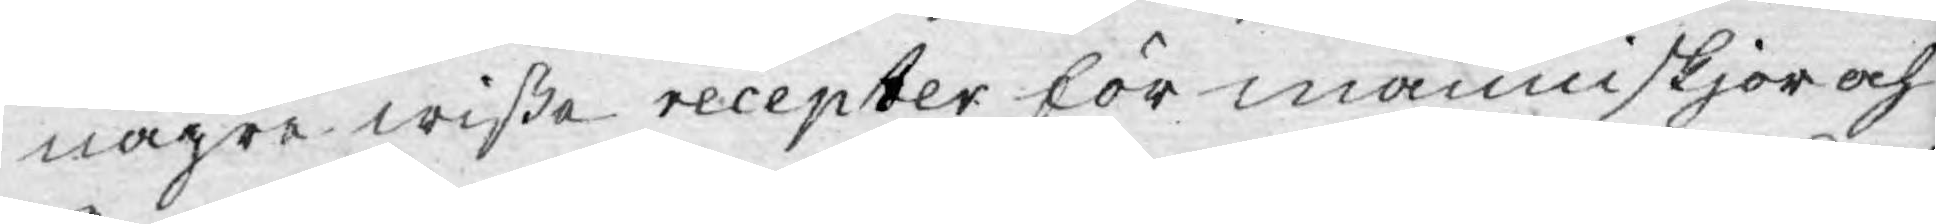någre wiße recepter för människjor och
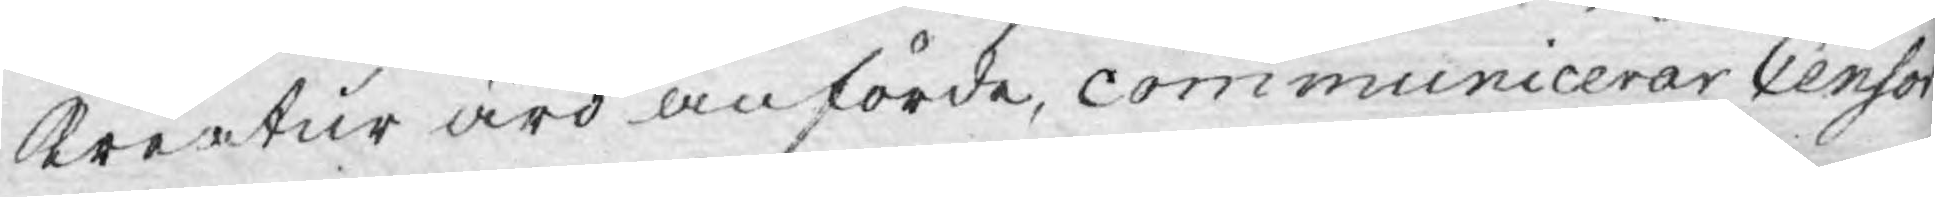Kreatur äro anförde, communicerar Censor
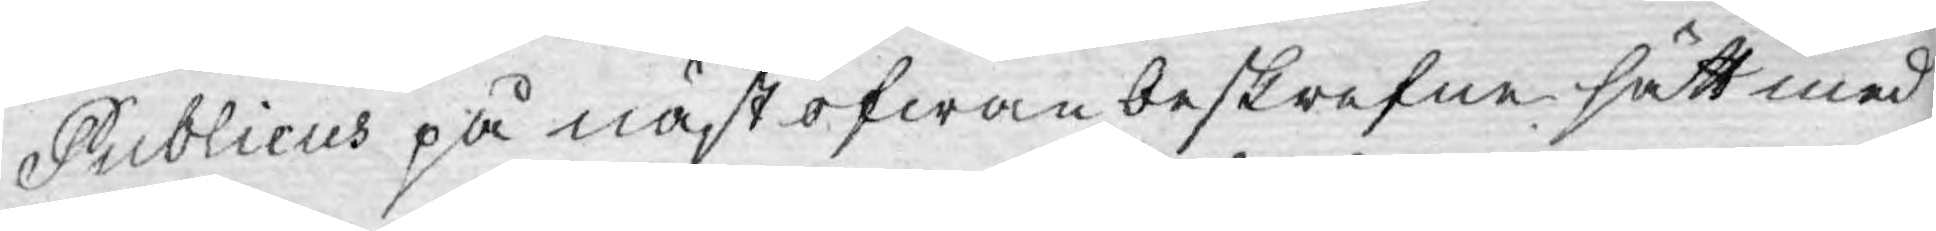Publicus på näst ofwanbeskrifne sätt med
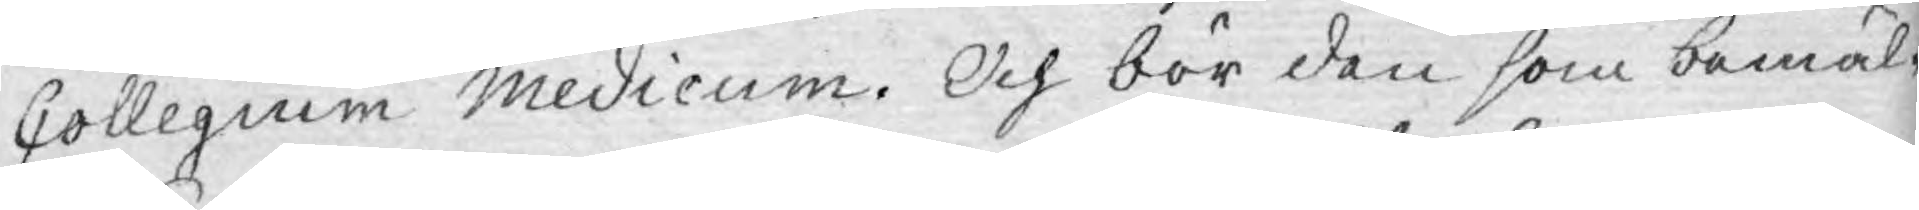Collegium Medicum. Och bör den som bemäl¬
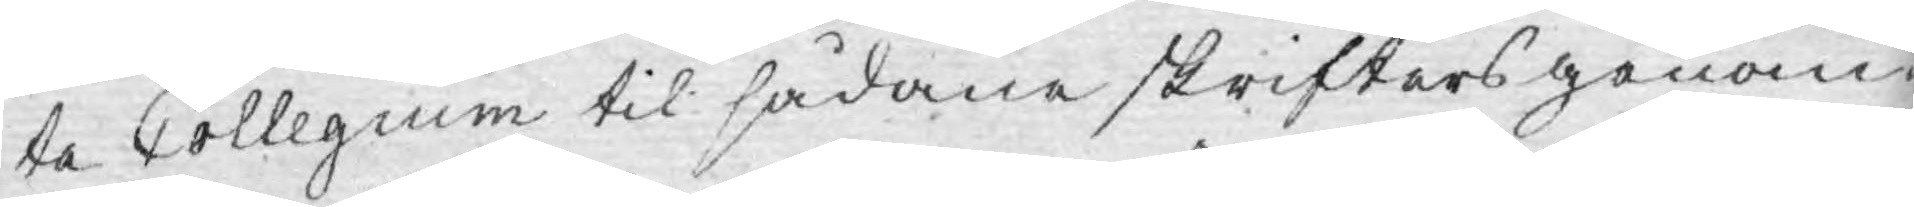te Collegium til sådane skrifters genom¬
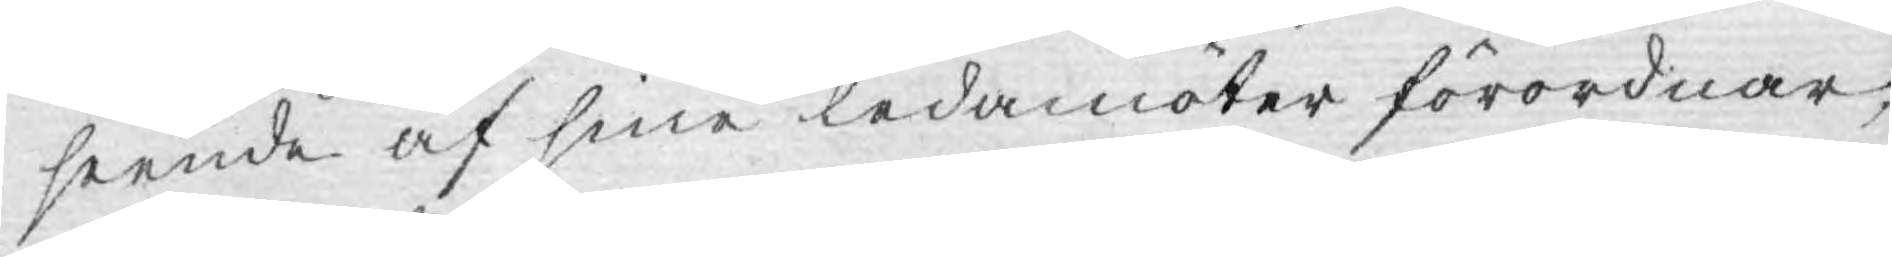seende af sine ledamöter förordnar,
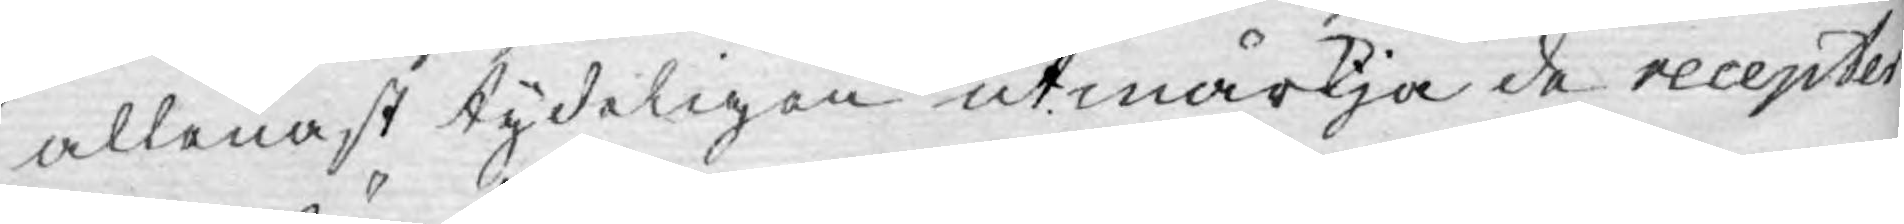allenast tydeligen utmärkja de recepter
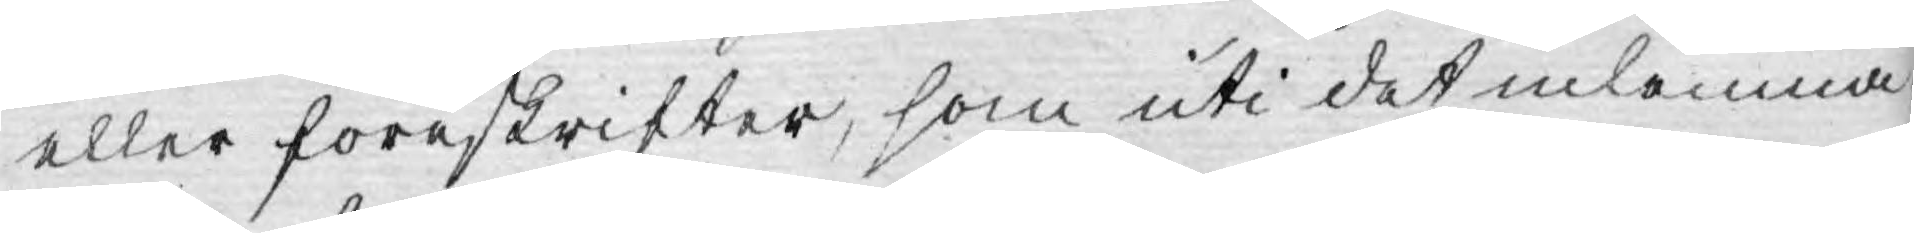eller föreskrifter, som uti det inlemna¬
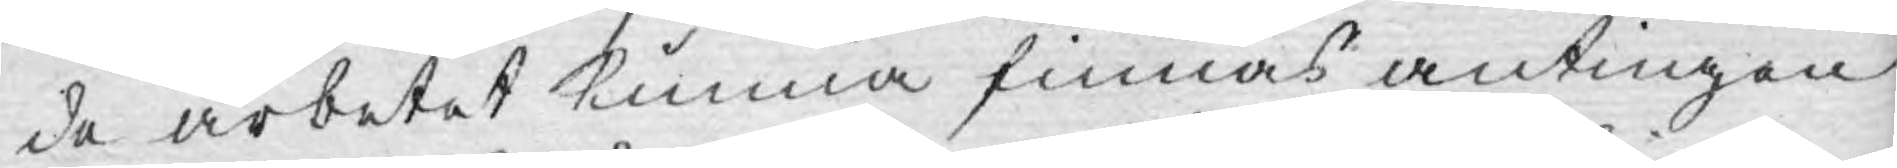de arbetet kunna finnas antingen
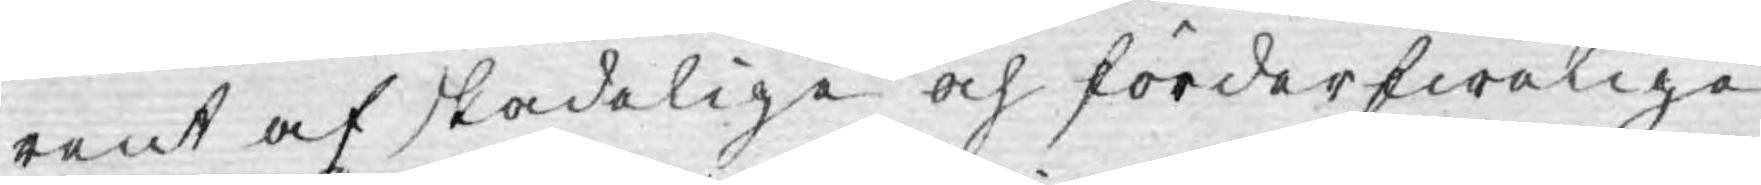rent af skadelige och förderfwelige,
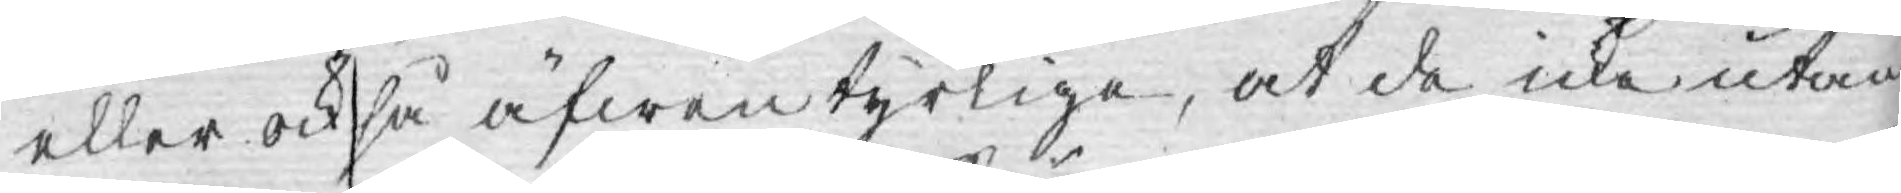eller också äfwentyrlige, at de icke utan
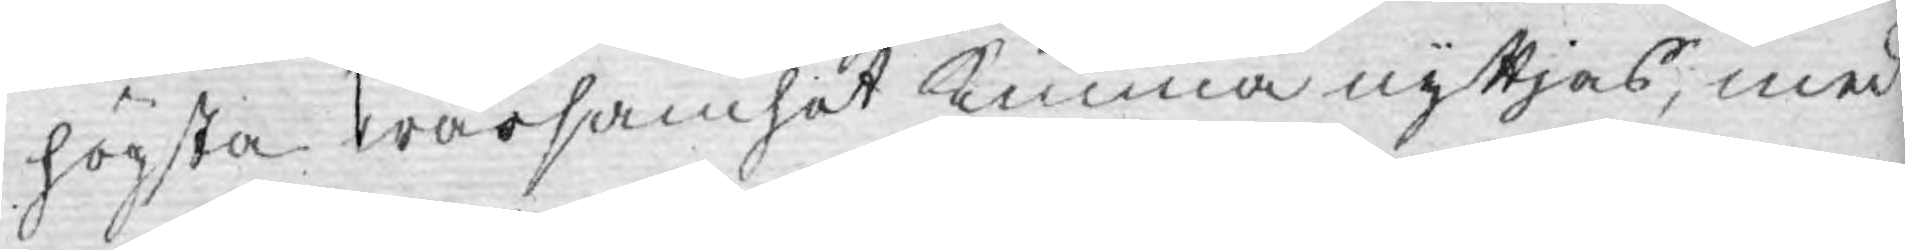högsta warsamhet kunna nyttjas, med
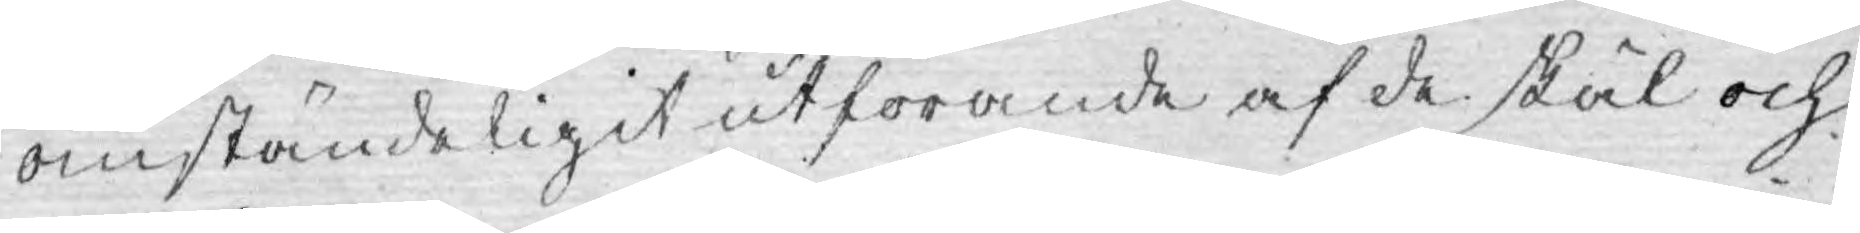omständeligit utförande af de skäl och
